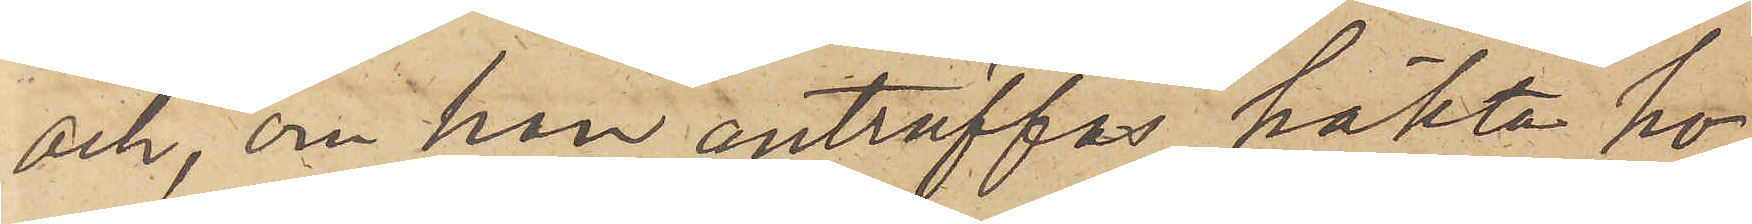och, om han anträffas, häkta ho¬
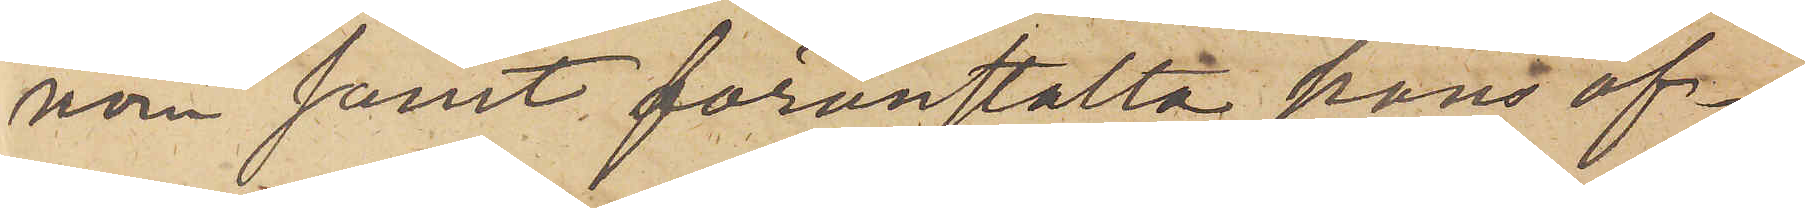nom samt föranstalta hans öf¬
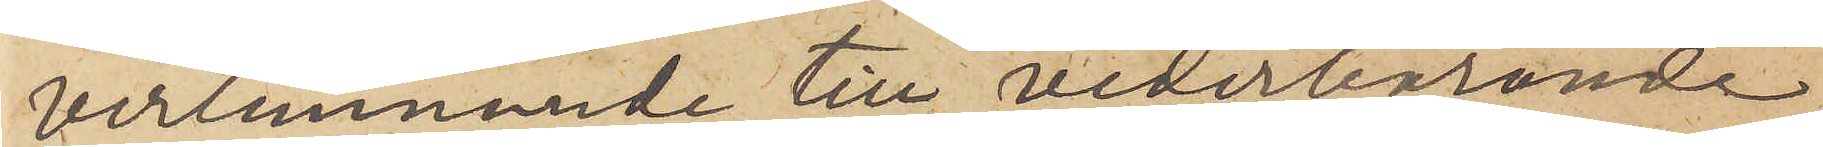verlemnande till vederbörande
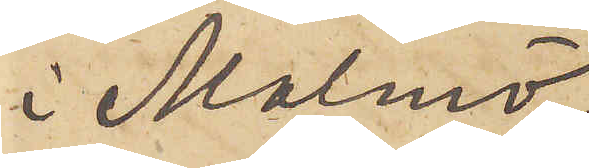i Malmö.
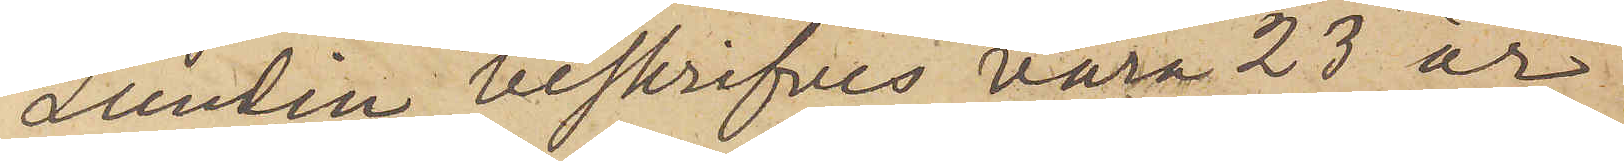Lundin beskrifves vara 23 år
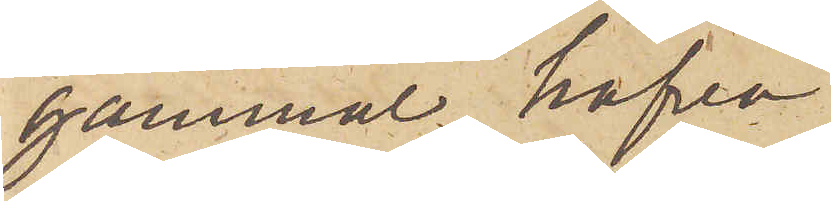gammal, hafva
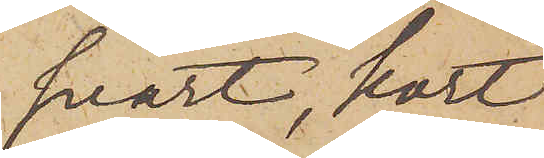svart, kort
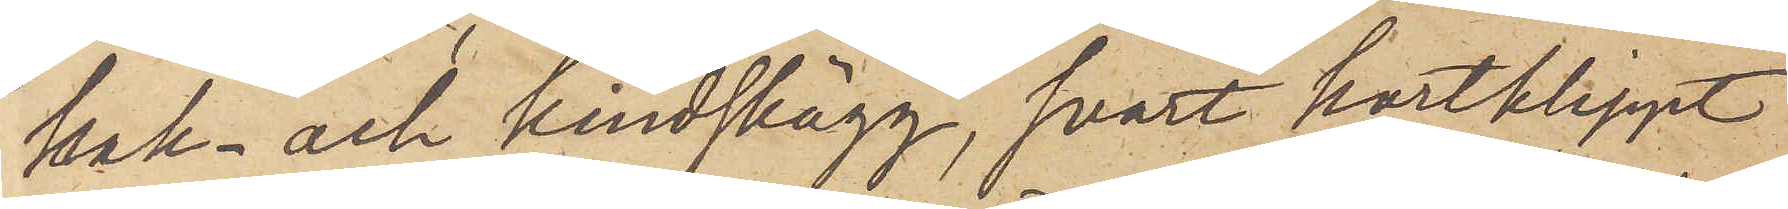hak- och kindskägg, svart kortklippt
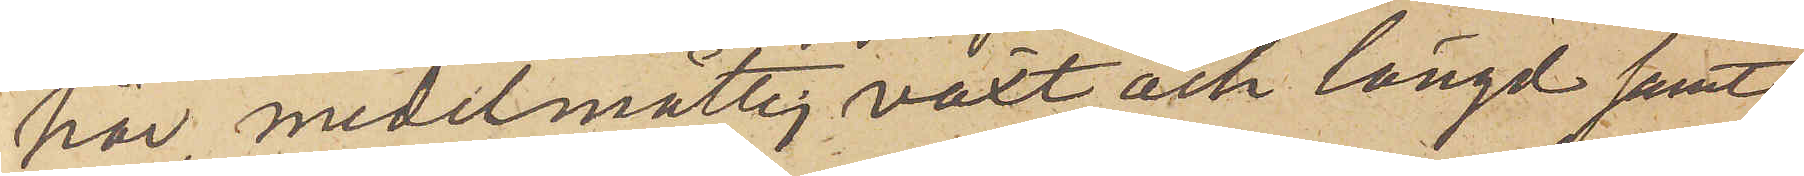hår, medelmåttig växt och längd samt
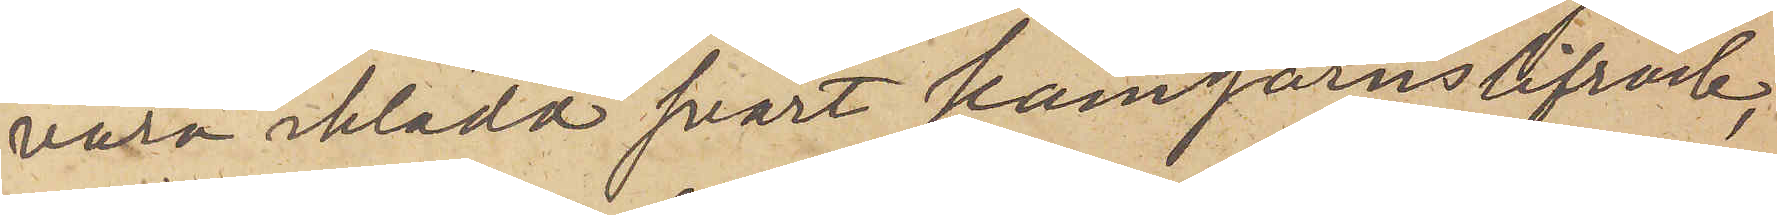vara iklädd svart kamgarnslifrock,
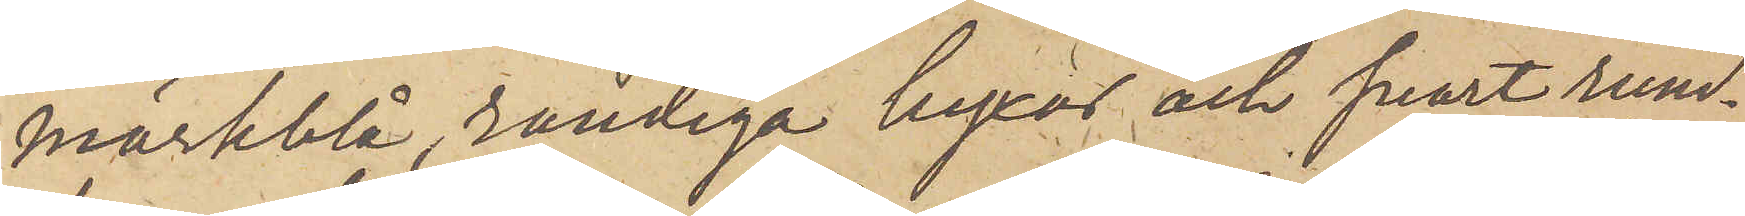mörkblå, randiga byxor och svart rund¬
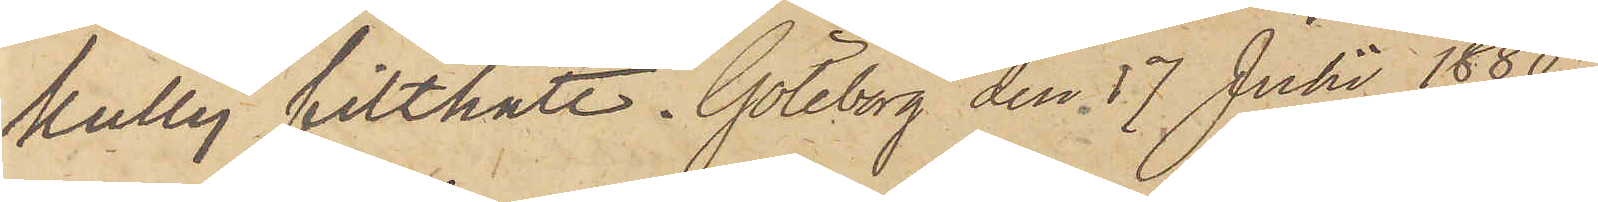kullig filthatt. Göteborg den 17 Julii 1880.
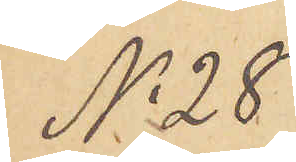No 28
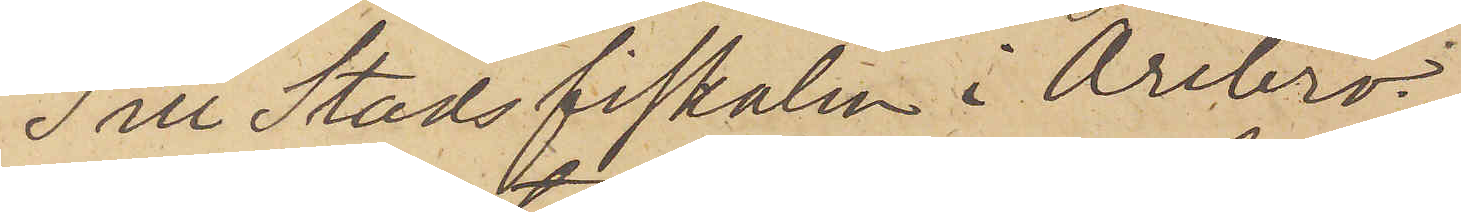Till Stadsfiskalen i Örebro.
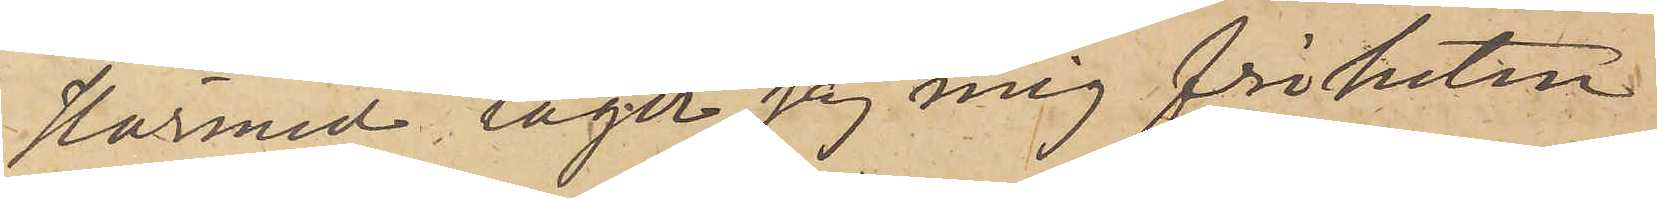Härmed tager jag mig friheten
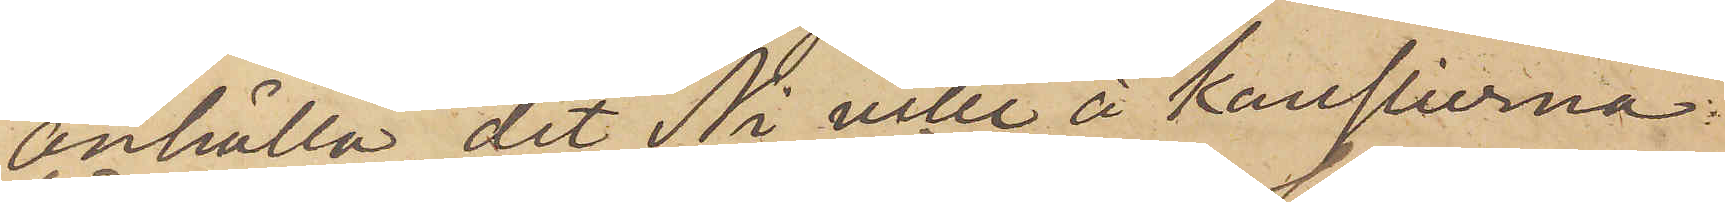anhålla, det Ni ville å Kanslierna
